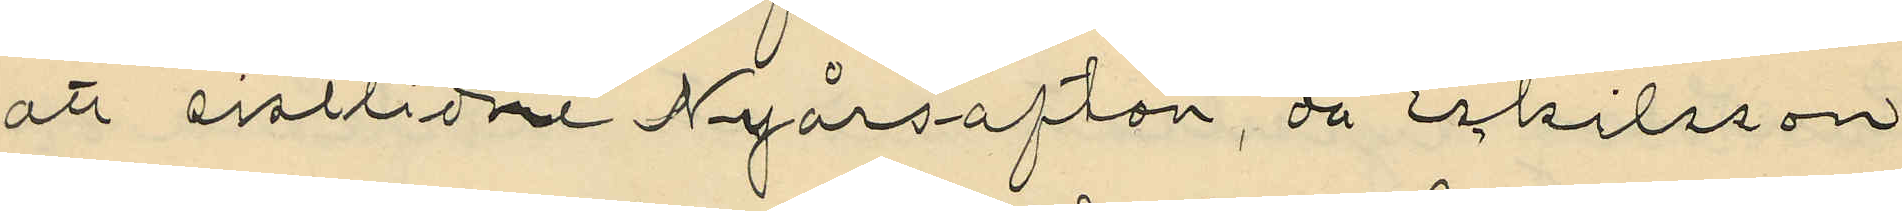att sistlidne Nyårsafton, då Eskilsson
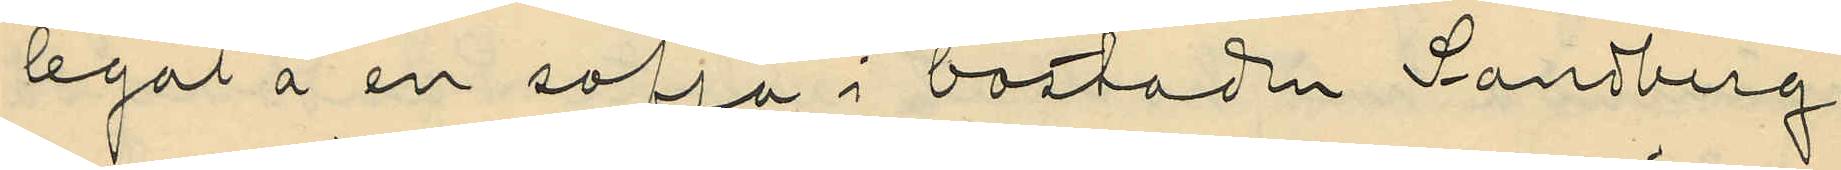legat å en soffa i bostaden Sandberg
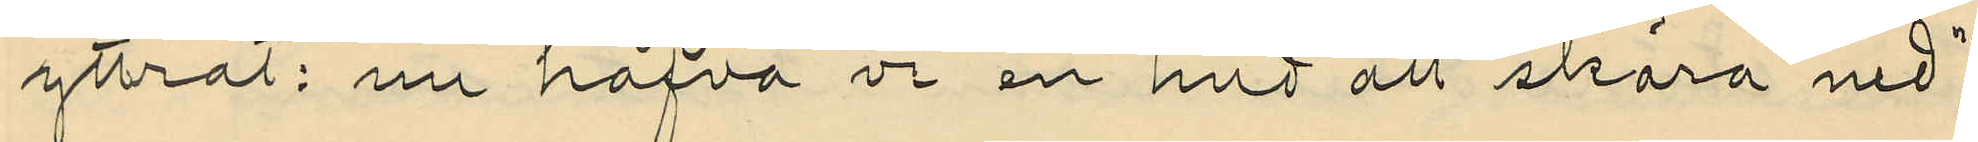yttrat: "nu hafva vi en hud att skära ned",
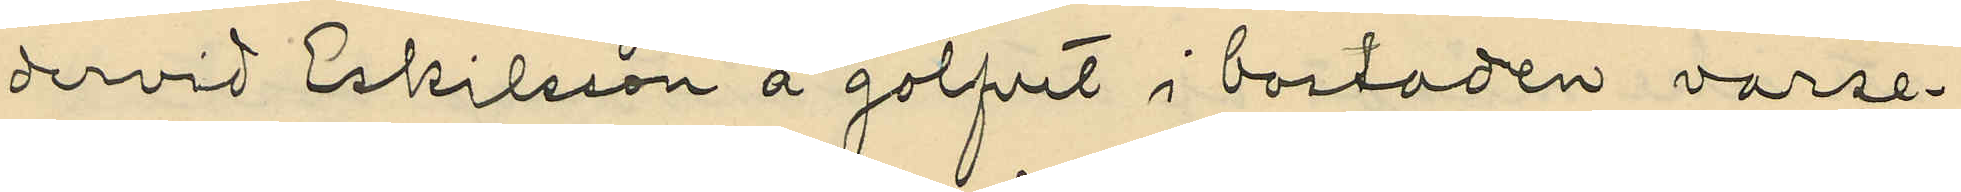dervid Eskilsson å golfvet i bostaden varse¬
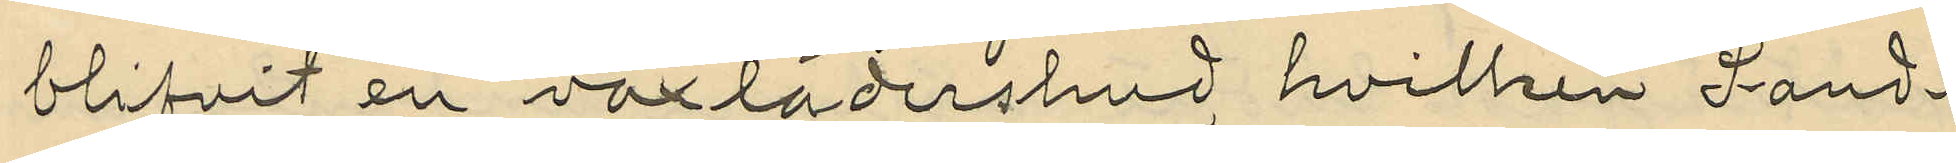blifvit en vaxlädershud, hvilken Sand¬
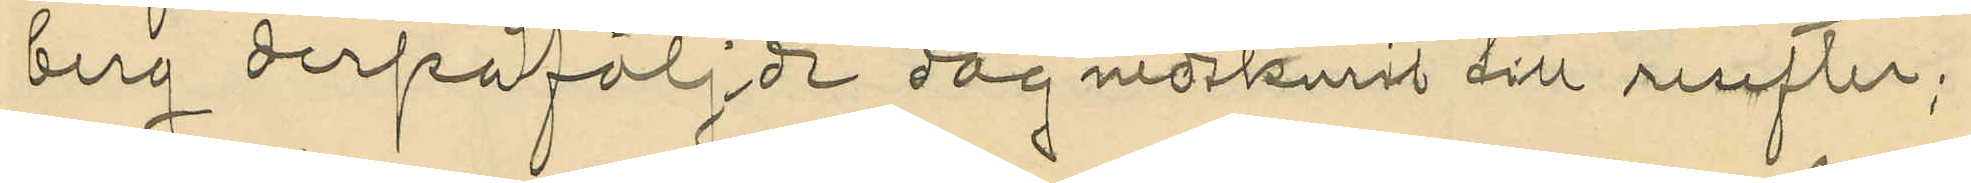berg derpåfölj:de dag nedskurit till resefter;
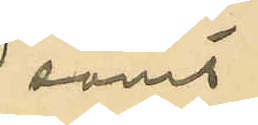samt
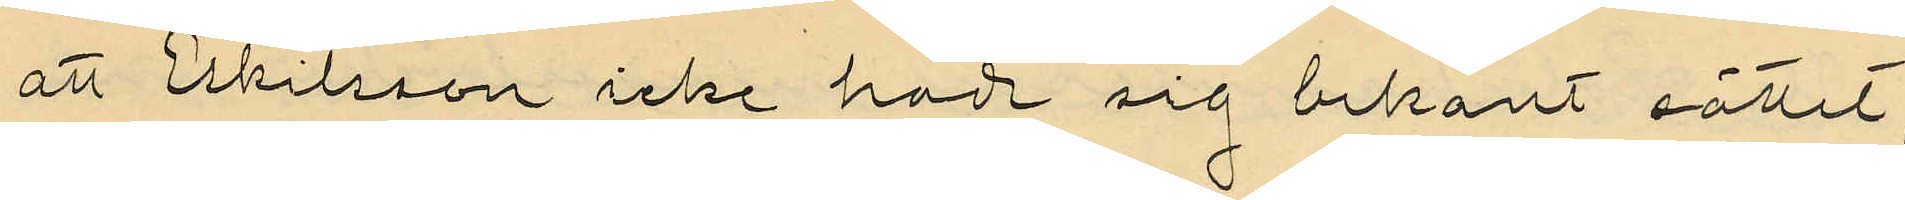att Eskilsson icke hade sig bekant sättet
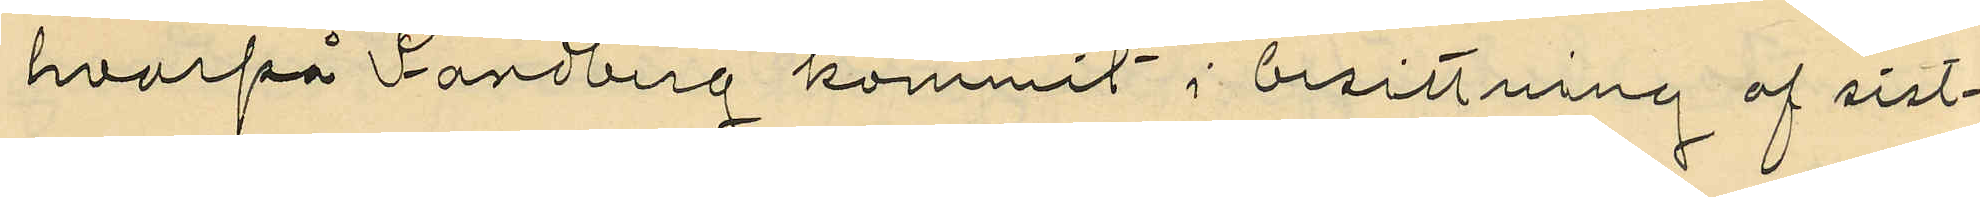hvarpå Sandberg kommit i besittning af sist¬
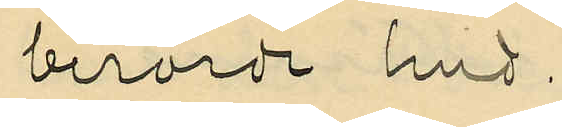berörde hud.
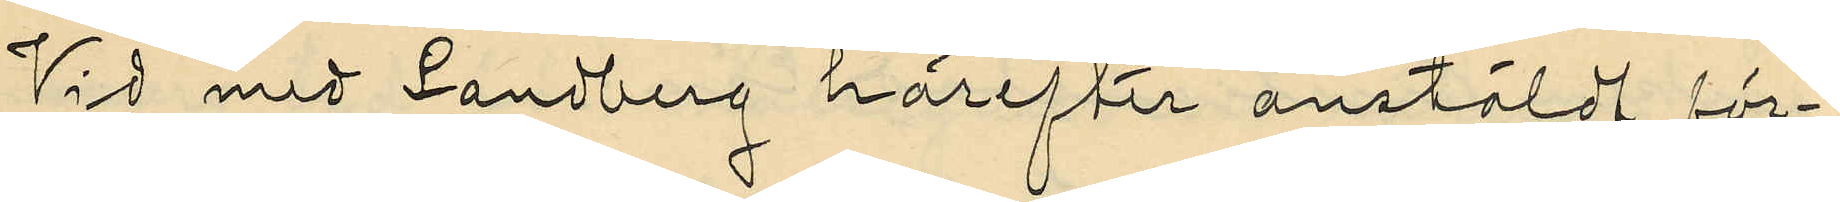Vid med Sandberg härefter anstäldt för¬
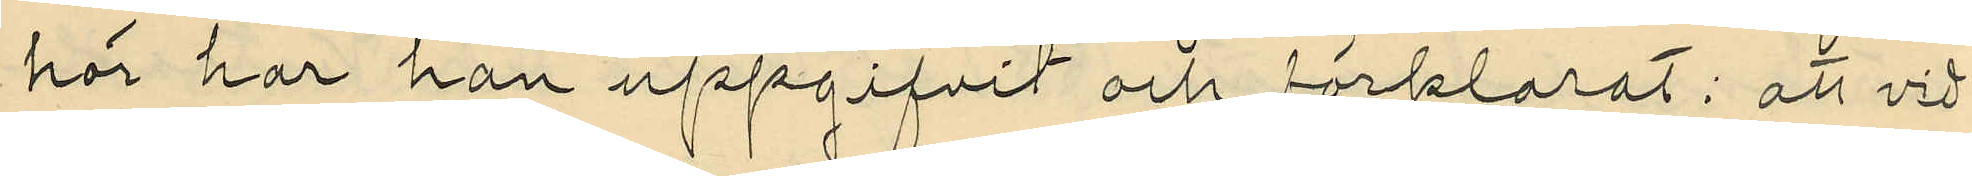hör har han uppgifvit och förklarat: att vid
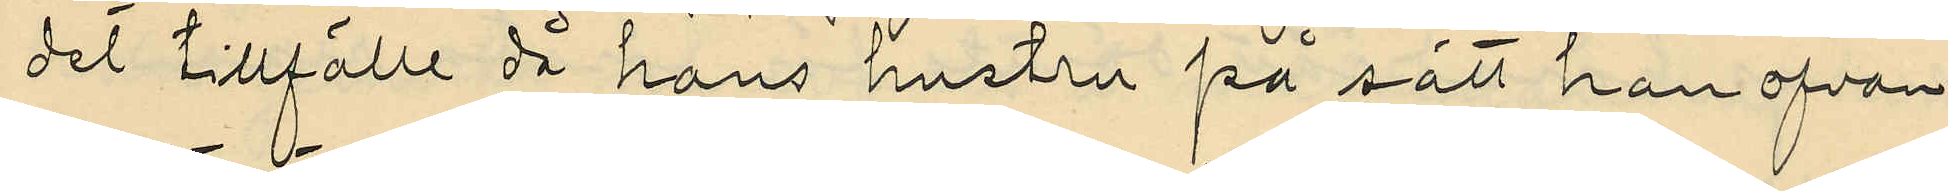det tillfälle då hans hustru på sätt han ofvan
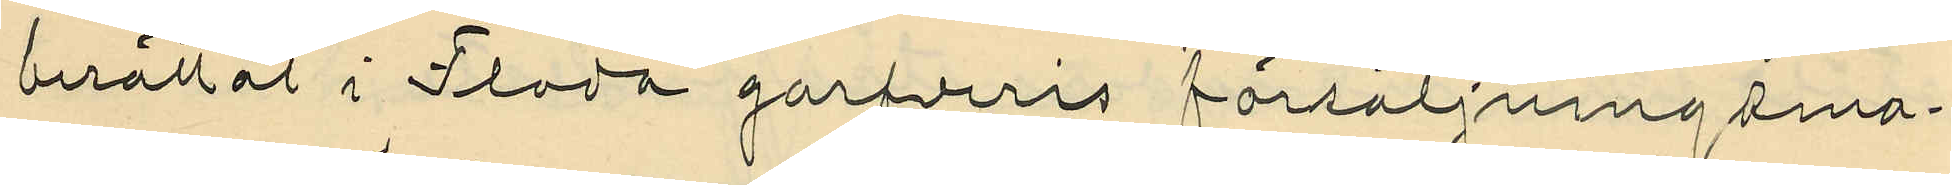berättat i Floda garfveris försäljningsma¬
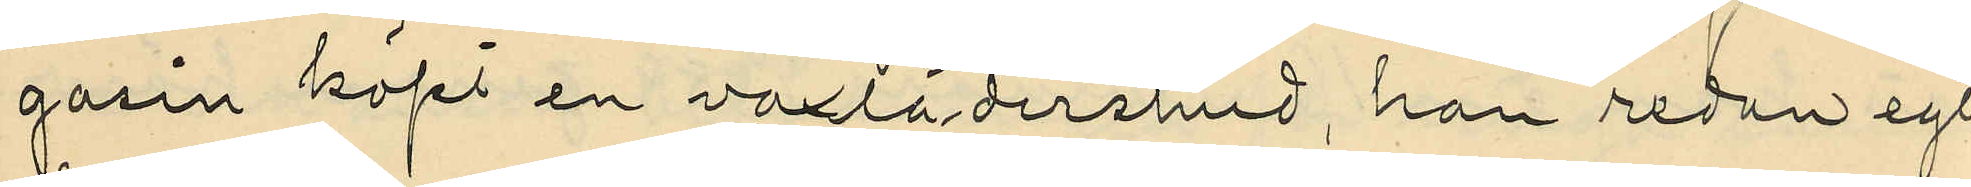gasin köpt en vaxlädershud, han redan egt
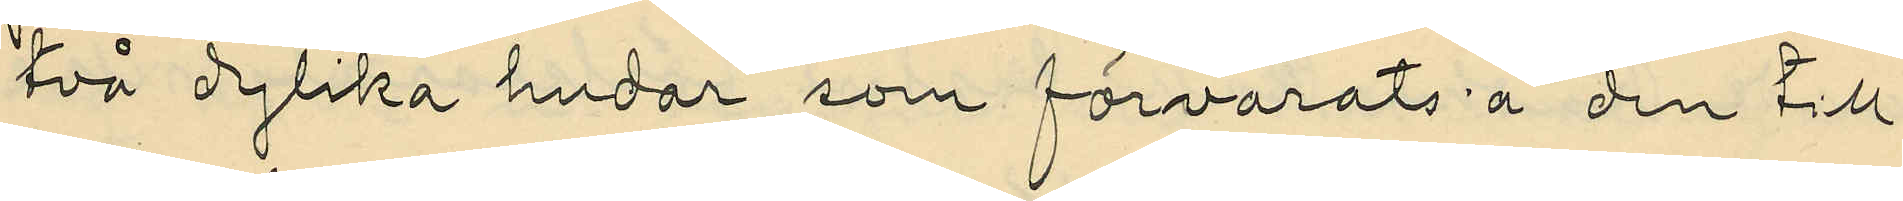två dylika hudar som förvarats å den till
